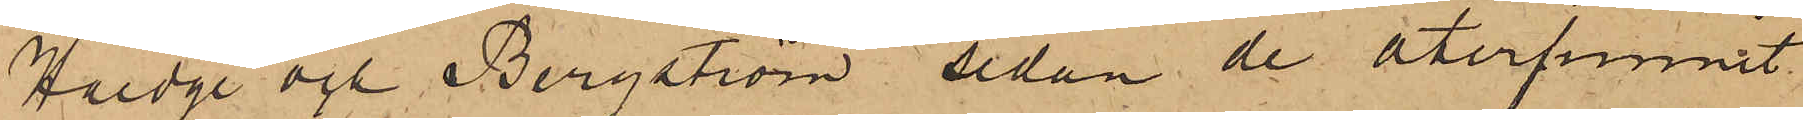Hoedge och Bergström sedan de återfunnit
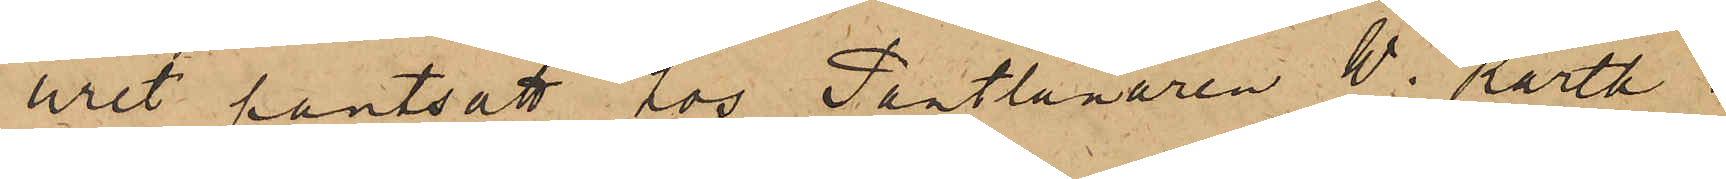uret pantsatt hos Pantlånaren W. Karth i
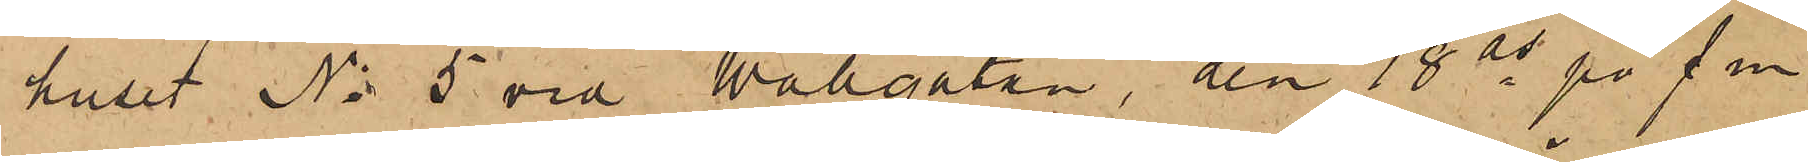huset No 5 vid Wallgatan, den 18 ds på f. m.
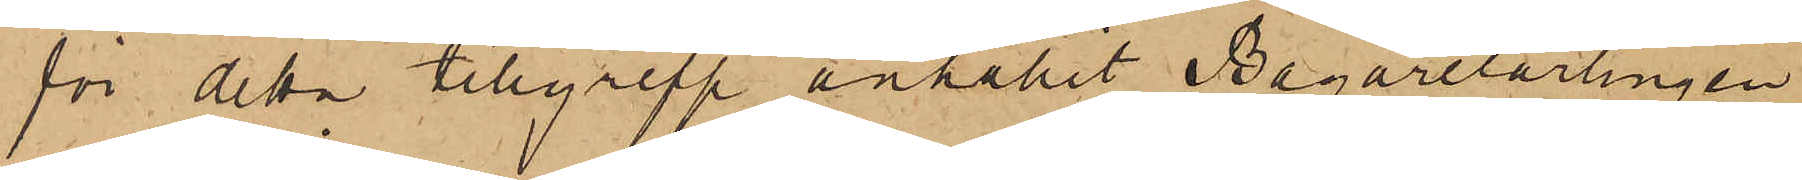för detta tillgrepp anhållit Bagarelärlingen
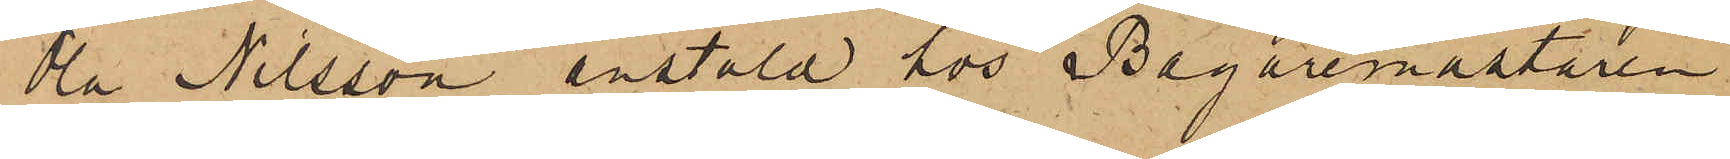Ola Nilsson anstäld hos Bagaremästaren
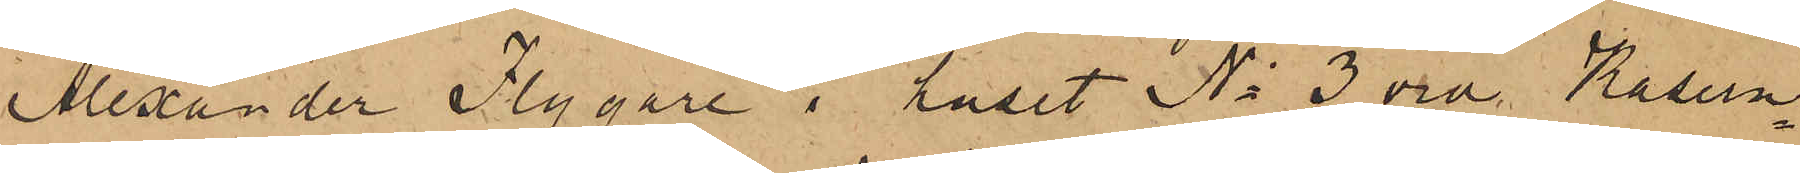Alexander Flygare i huset No 3 vid Kasern¬
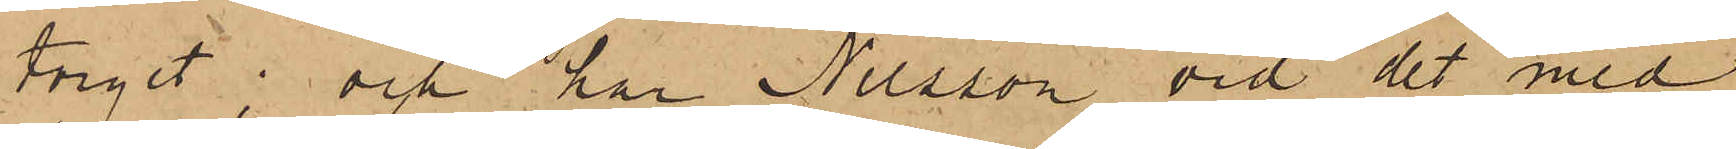torget; och har Nilsson vid det med
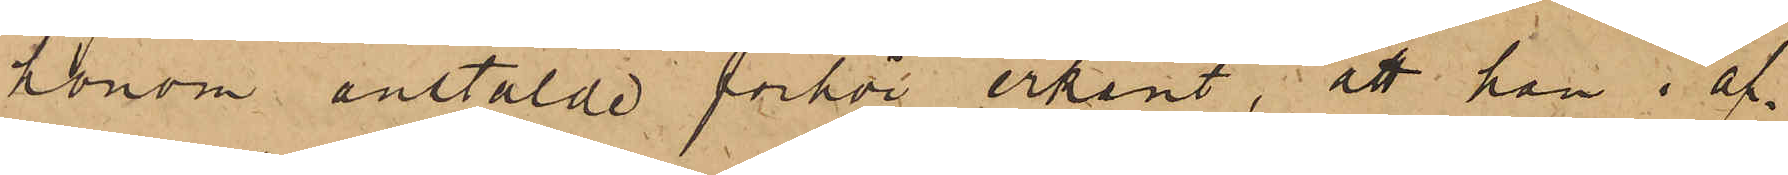honom anstälde förhör erkänt, att han i af¬
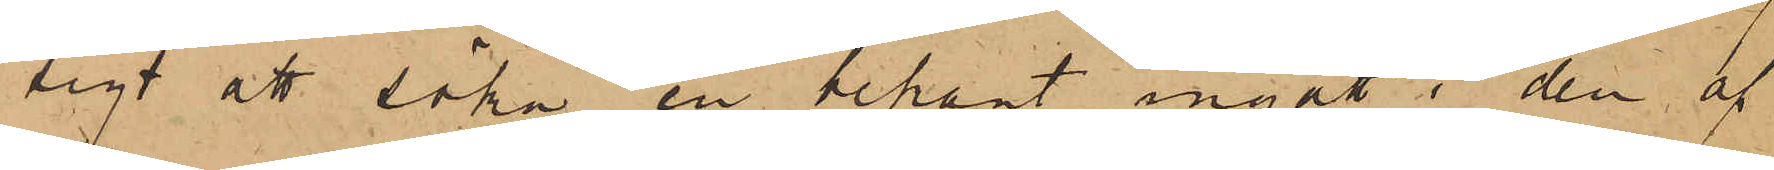sigt att söka en bekant ingått i den af
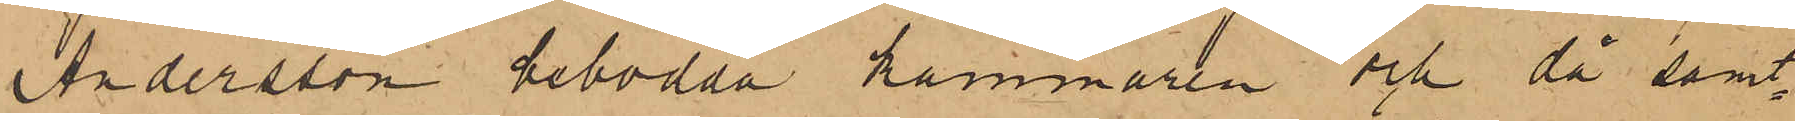Andersson bebodda kammaren och då samt¬
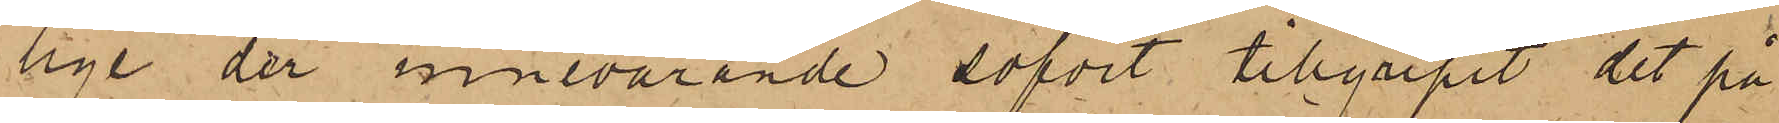lige der innevarande sofvit tillgripit det på
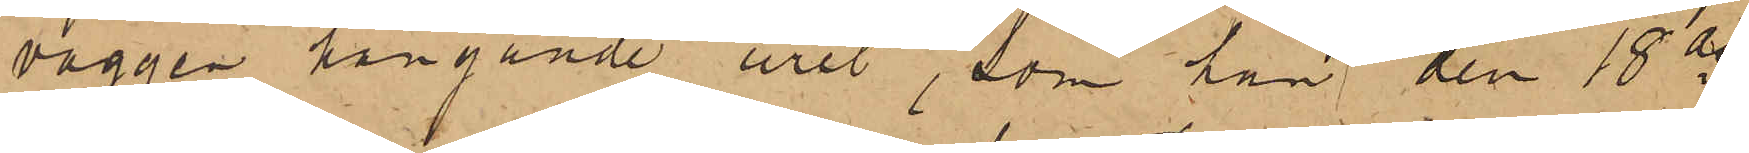väggen hängande uret, som han den 18 ds
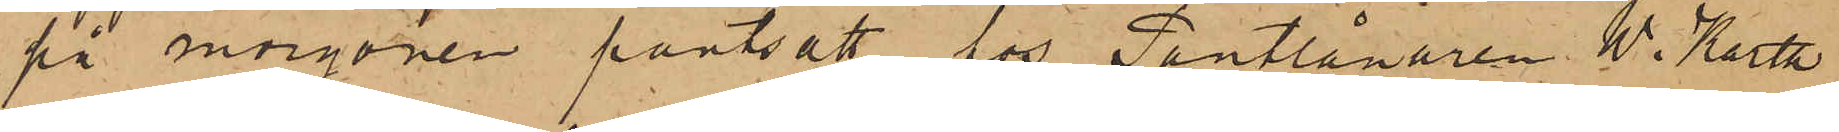på morgonen pantsatt hos Pantlånaren W. Karth
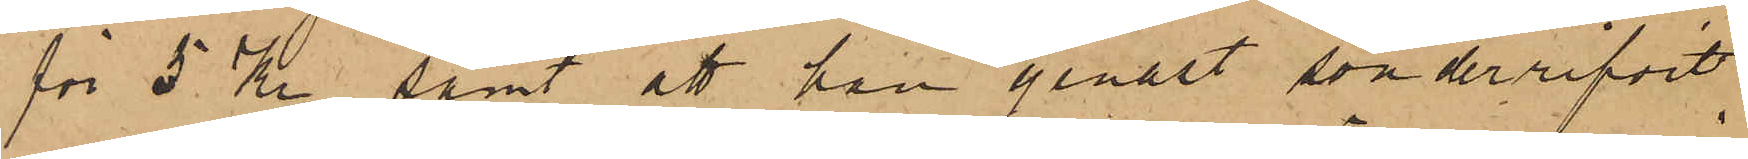för 5 Kr, samt att han genast sönderrifvit
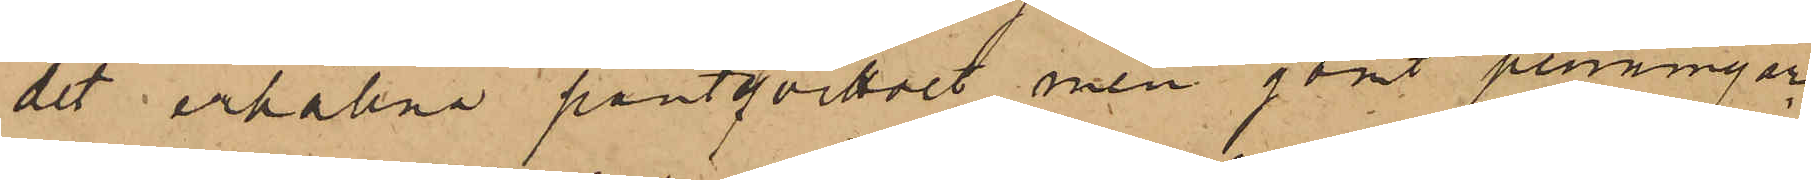det erhållna pantqvittot men gömt penningar¬
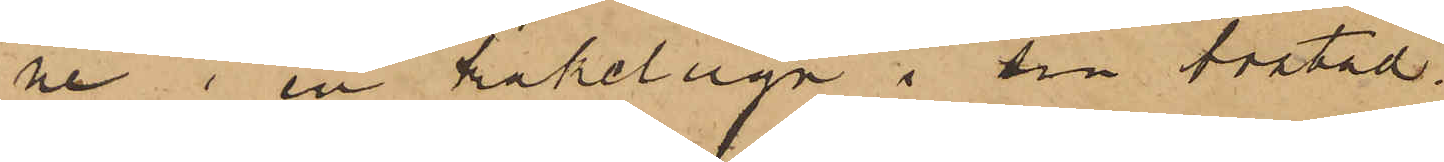ne i en kakelugn i sin bostad,
